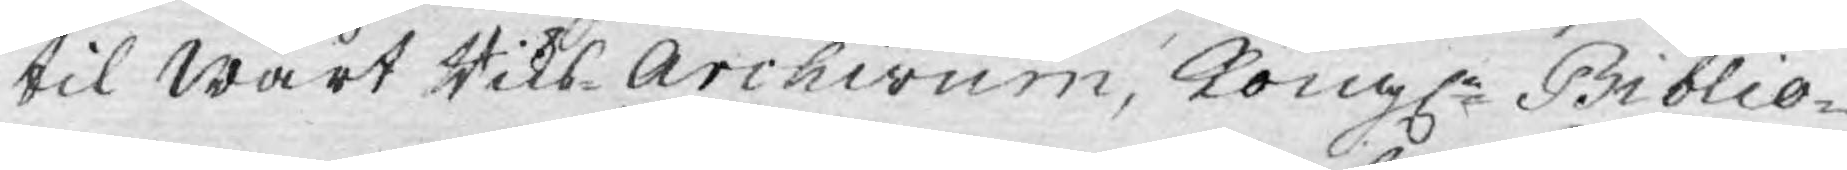til Wårt Riks-Archivum, Kongl.e Biblio¬
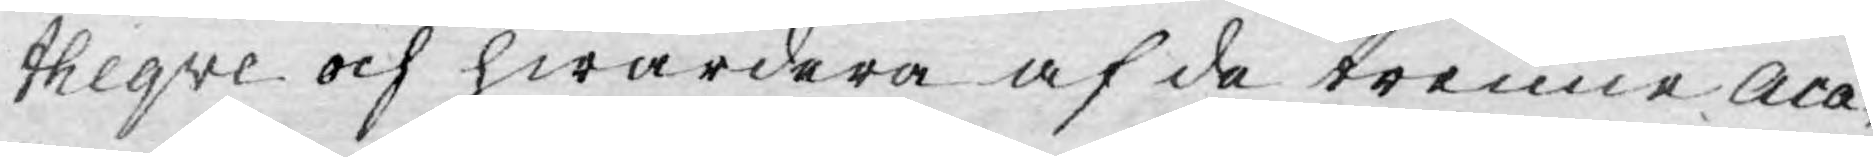theqve och hwardera af de trenne Aca¬
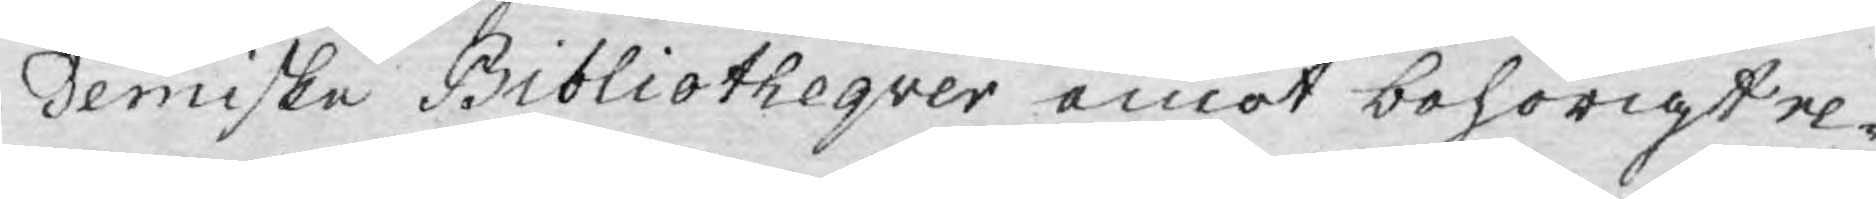demiske Bibliotheqver emot behörigt re¬
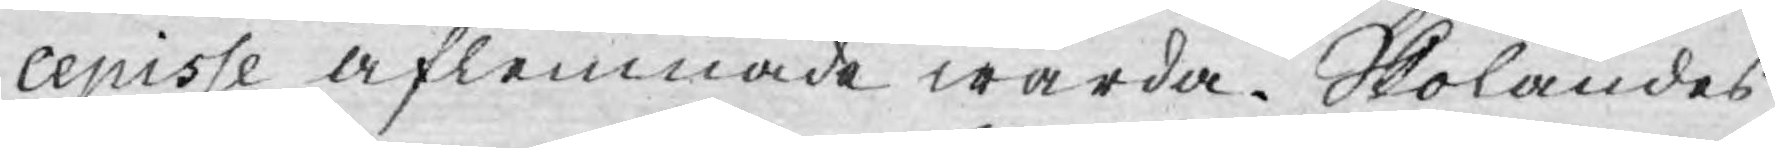cepisse aflemnade warda. Skolandes
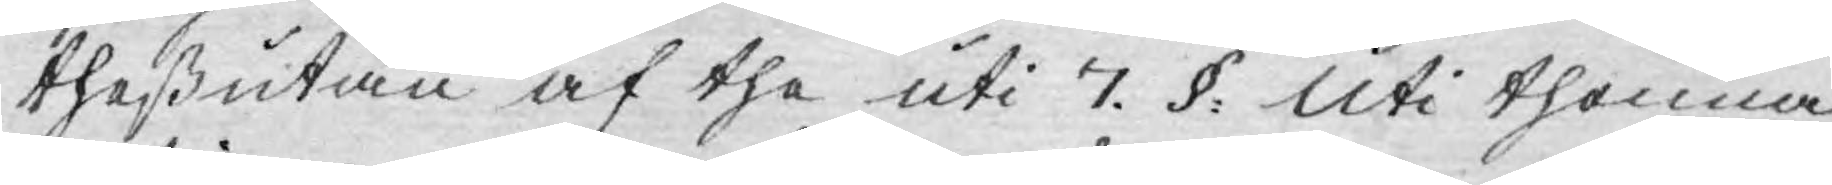theßutan af the uti 7. §. Uti thenna
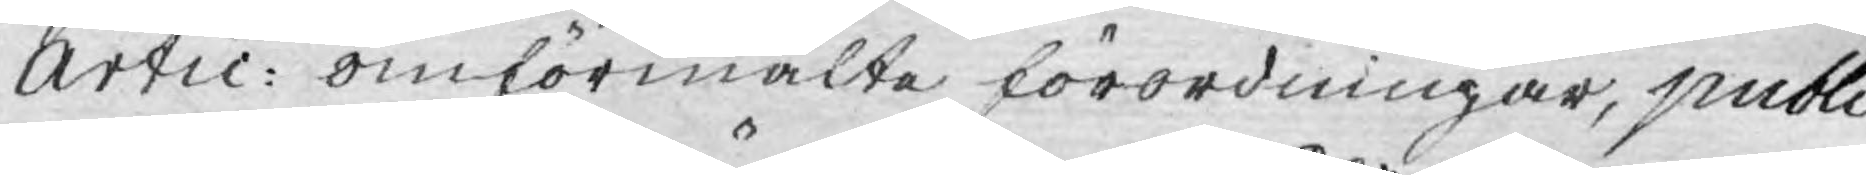Artic: omförmälte förordningar, publi¬
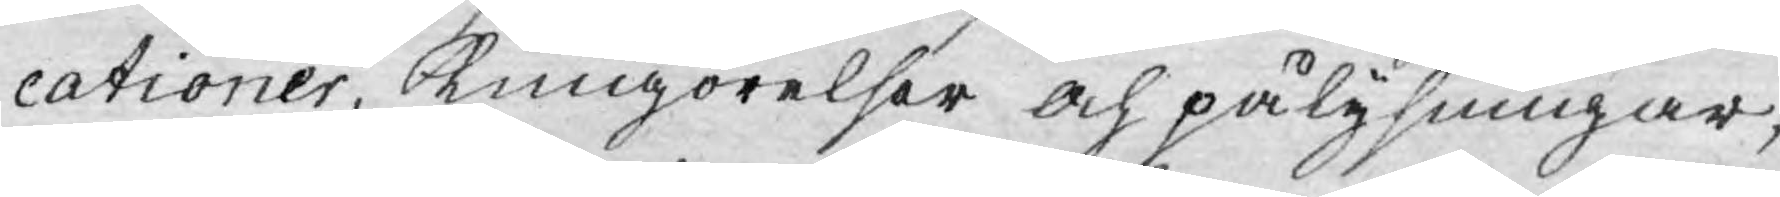cationer, Kungörelser och pålysningar,
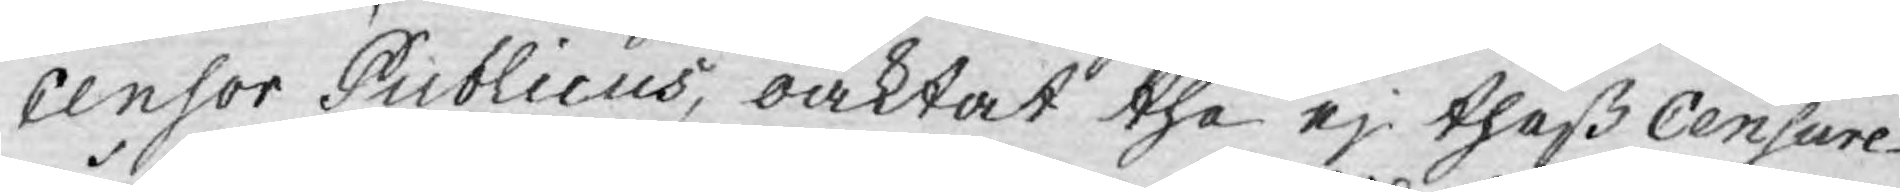Censor Publicus, oaktat the ej theß Censure
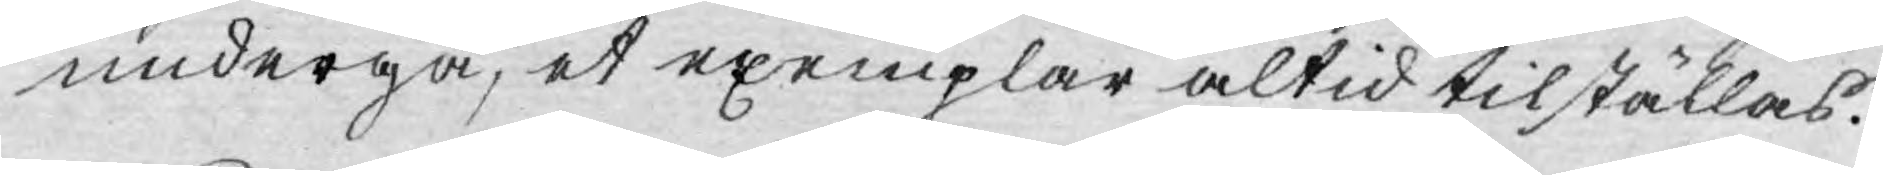undergå, et exemplar altid tilställas.
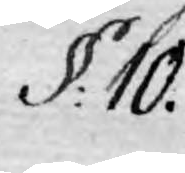§: 10.
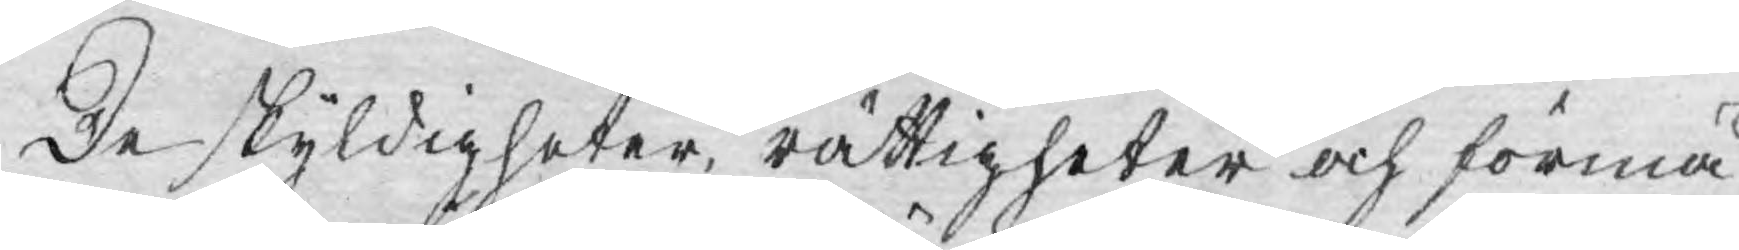De skyldigheter, rättigheter och förmå¬
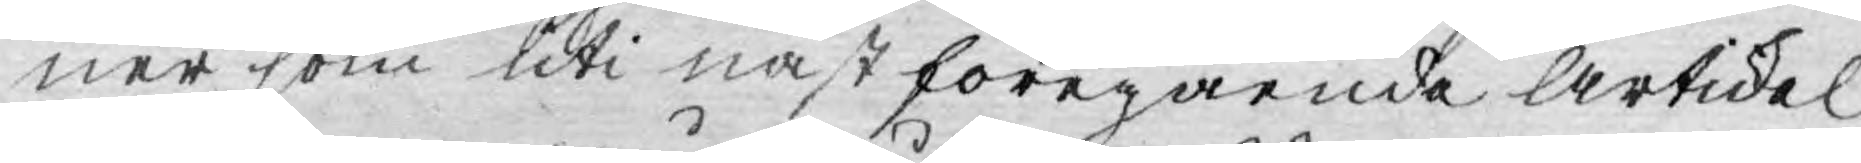ner som uti nästföregående Artickel
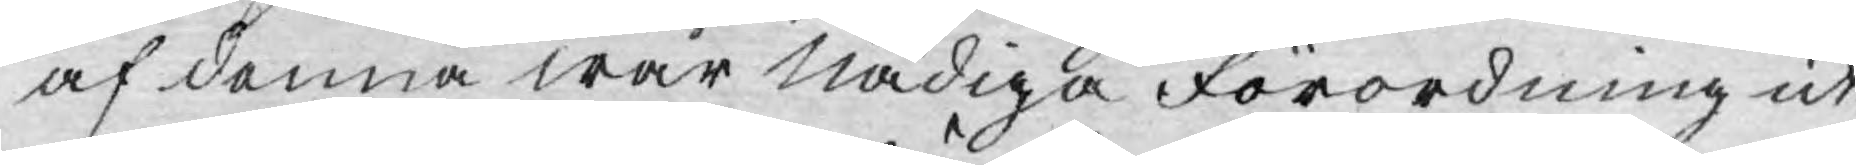af denna Wår Nådiga förordning ut¬
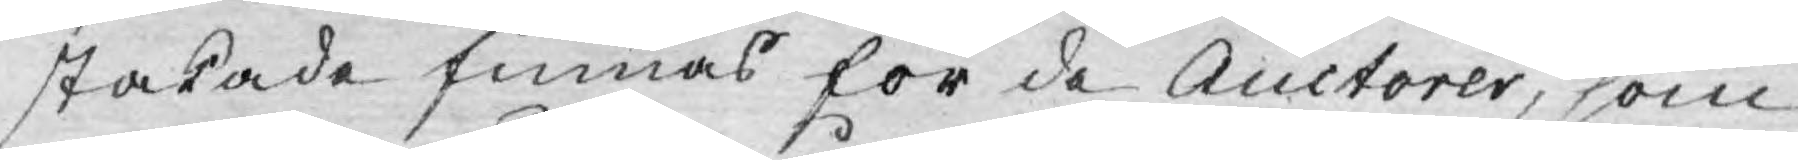stakade finnas för de Auctorer, som
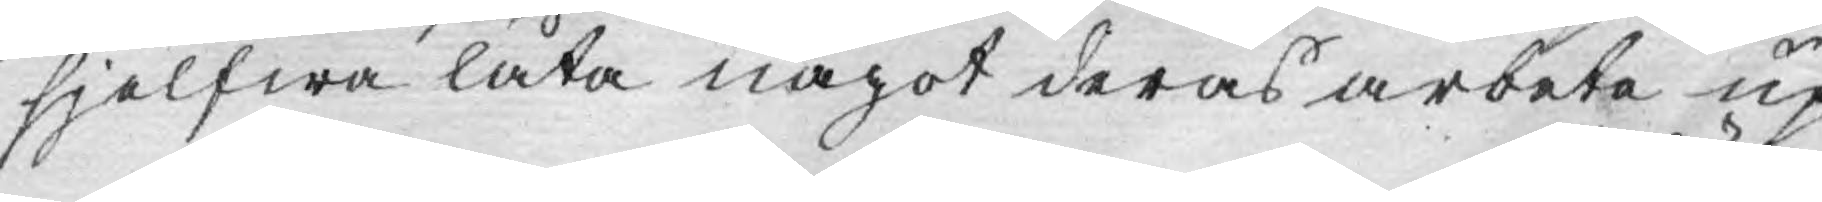sjelfwa låta något deras arbeta up¬
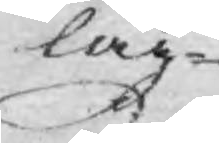läg¬
